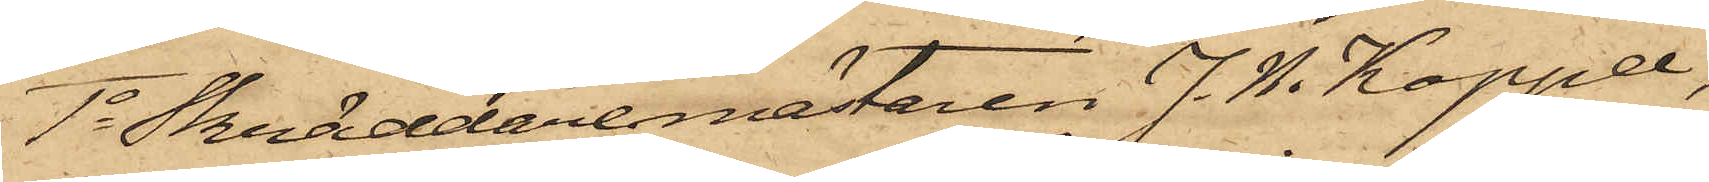1o Skräddaremästaren J. N. Koppel,
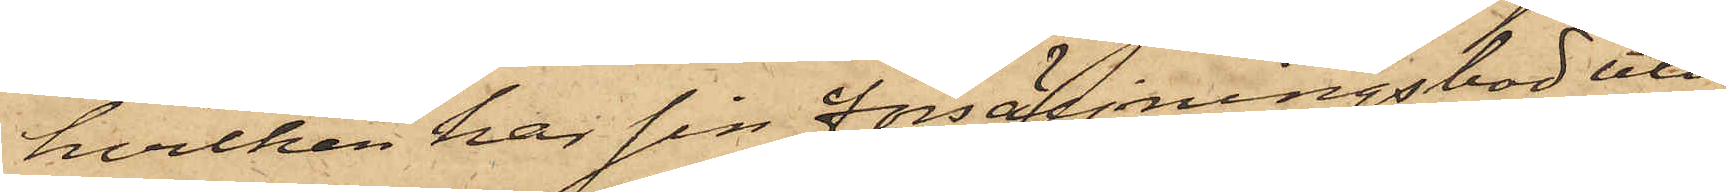hvilken har sin försäljningsbod uti
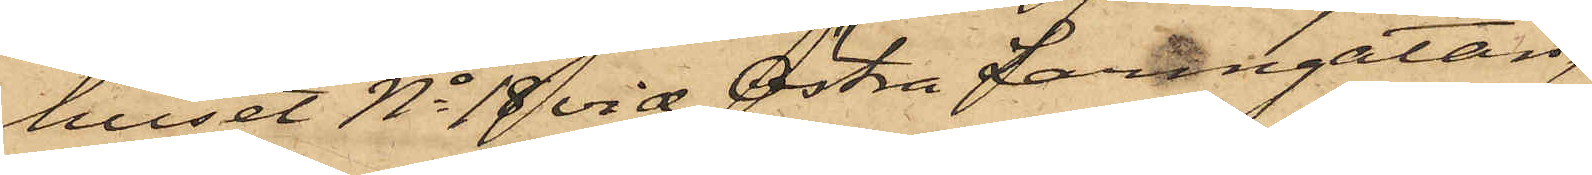huset No 18 vid Östra Larmgatan,
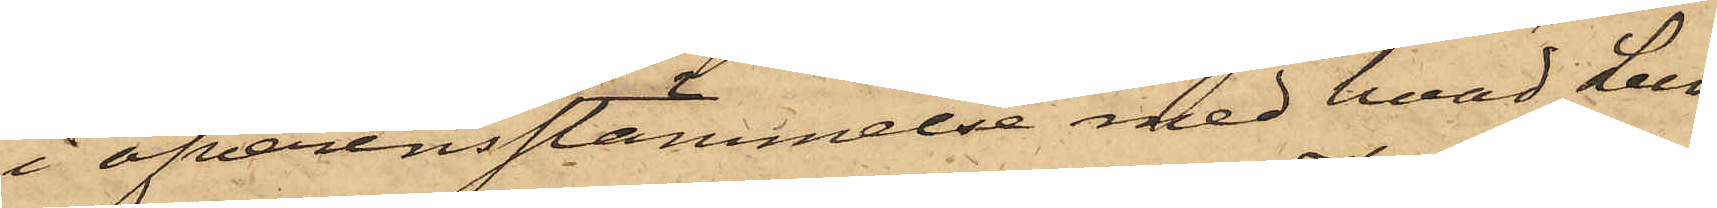i öfverensstämmelse med hvad Lun¬
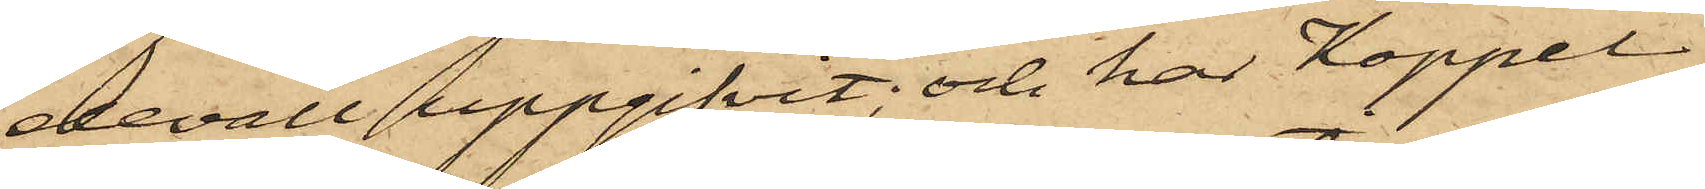devall uppgifvit och har Koppel
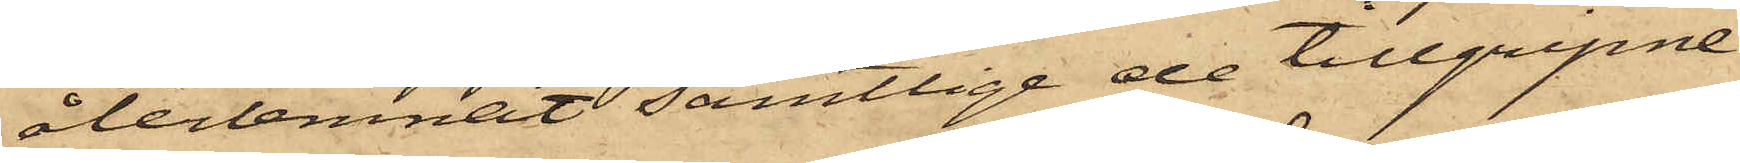återlemnat samtlige de tillgripne
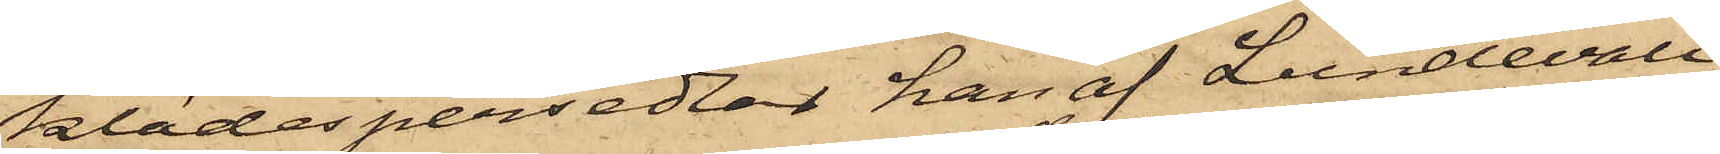klädespersedlar han af Lundevall
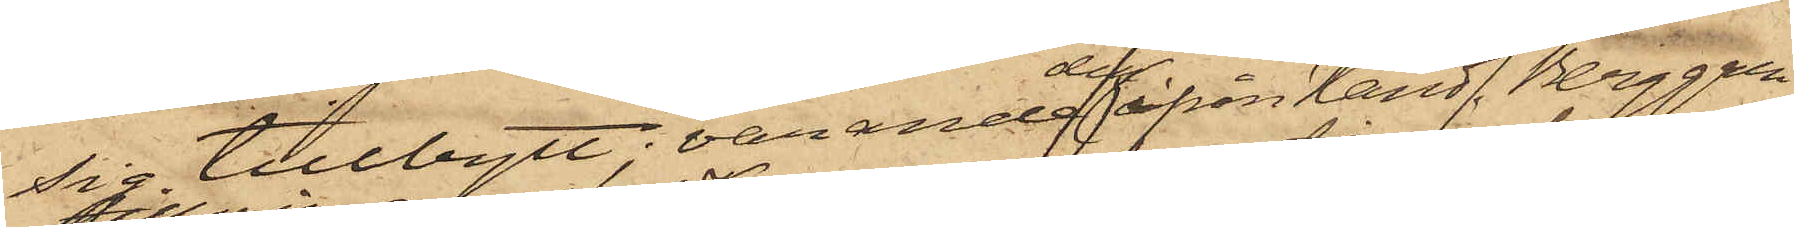sig tillbytt; varande den ifrån Handl. Berggren
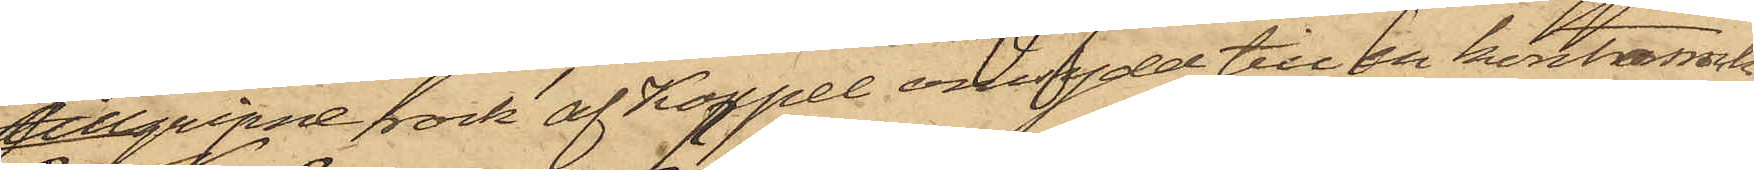tillgripne rock af Koppel omsydd till en kontorsrock
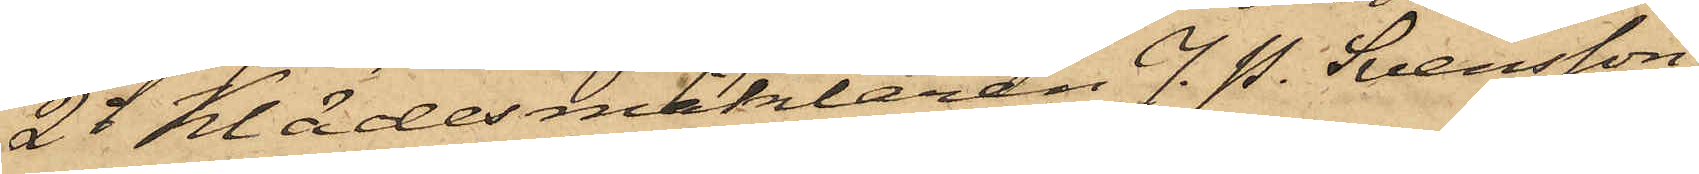2o Klädesmäklaren J. P. Svensson,
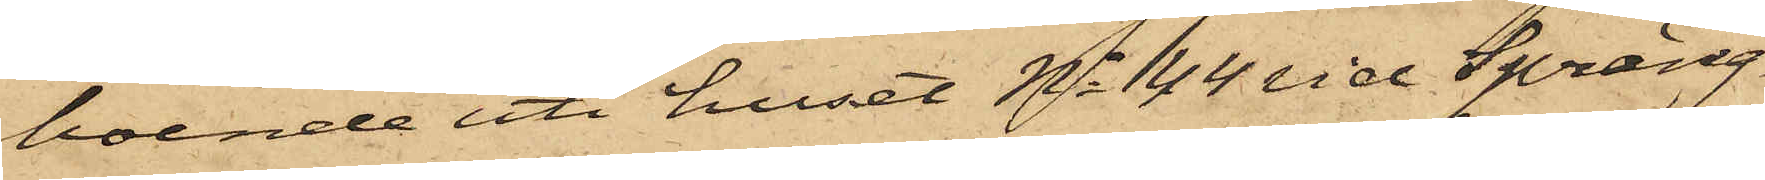boende uti huset No 44 vid Spräng¬
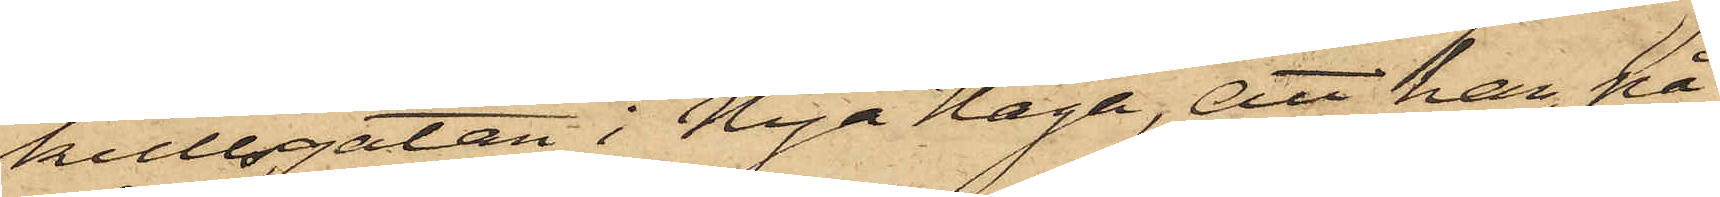kullsgatan i Nya Haga, att han, på
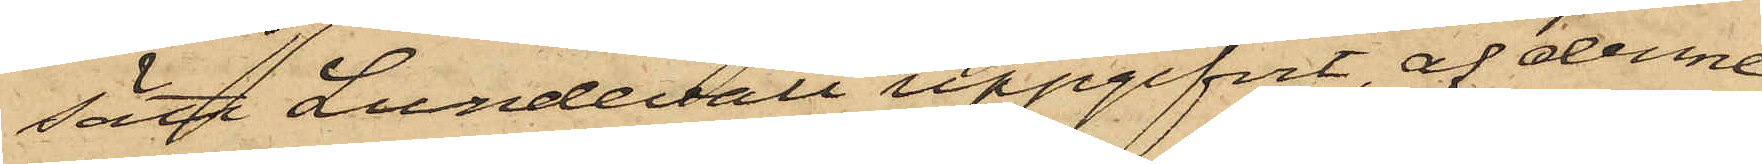sätt Lundevall uppgifvit, af denne
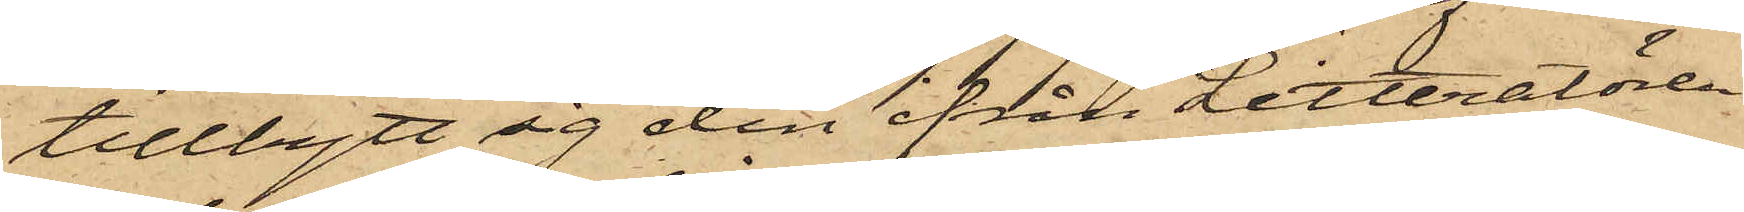tillbytt sig den ifrån Litteratören
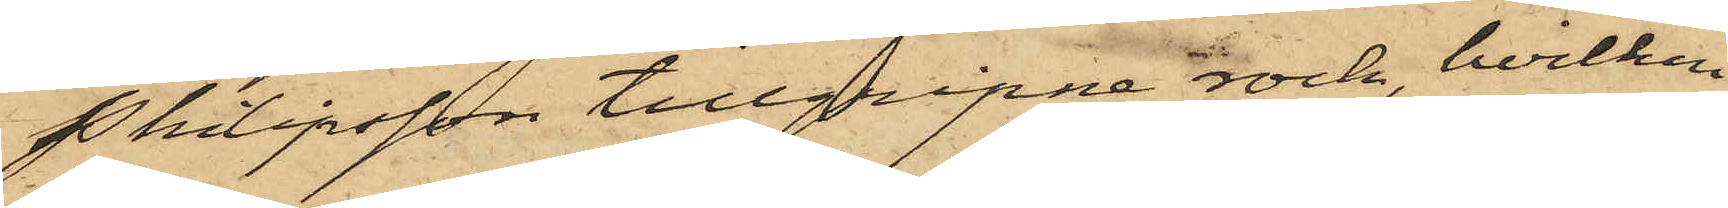Pkilipsson tillgripne rock, hvilken
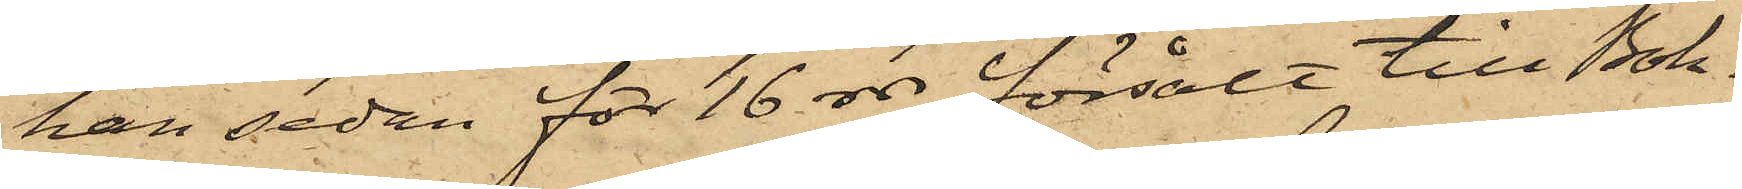han sedan för 16 rdr försålt till Bok¬
